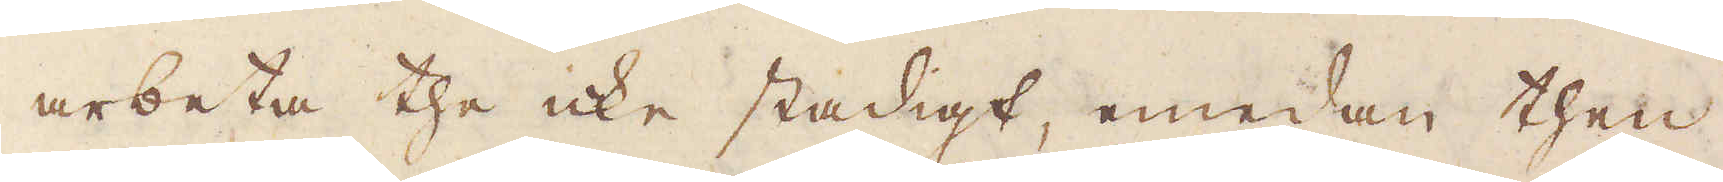arbeta the icke stadigt, emedan then
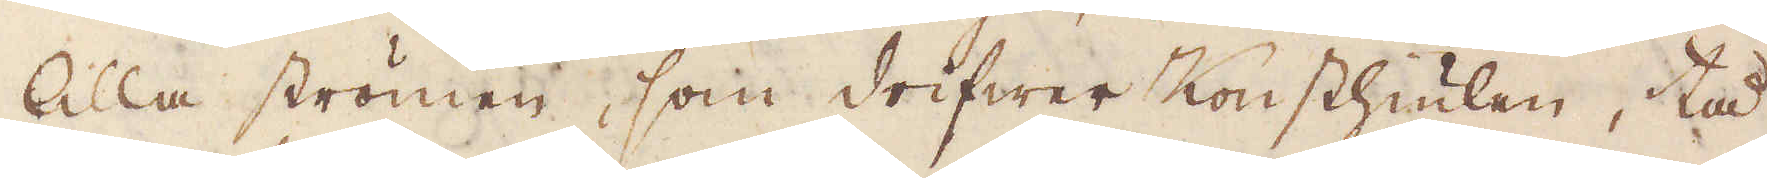lilla strömen, som drifwer Konsthiulen, tå
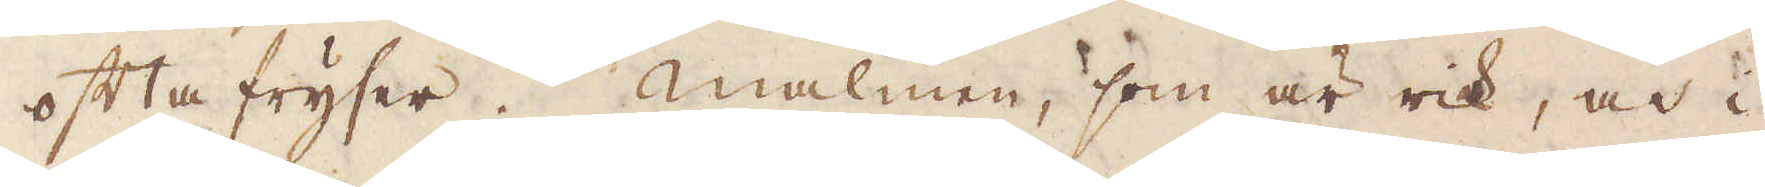ofta fryser. Malmen, som är rik, och i
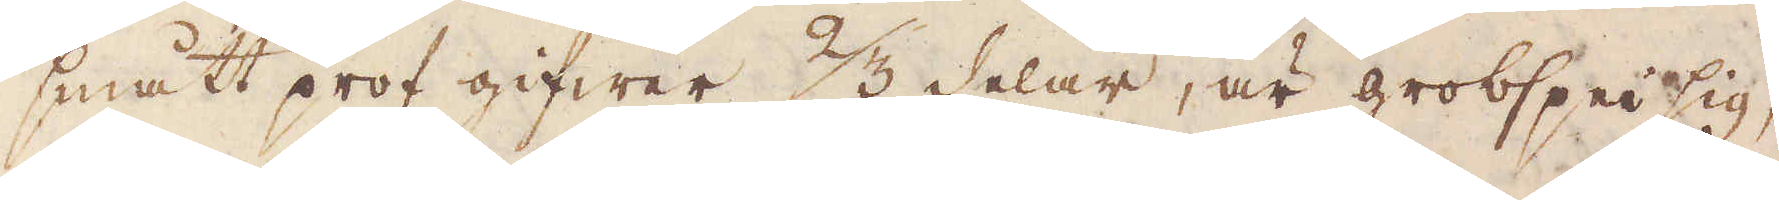smått prof gifwer 2/3 delar, är grofspeisig,
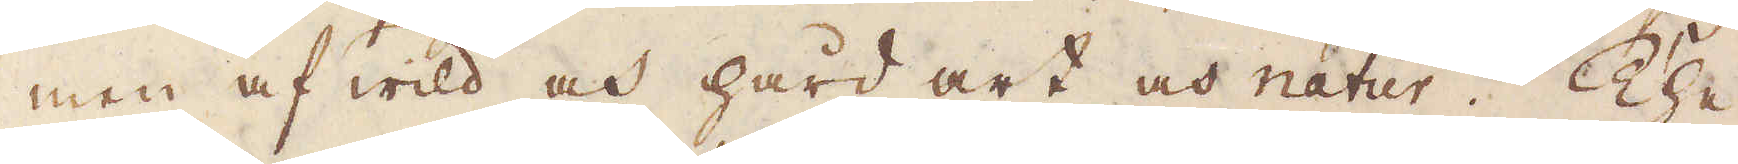men af wild och hård art och natur. The
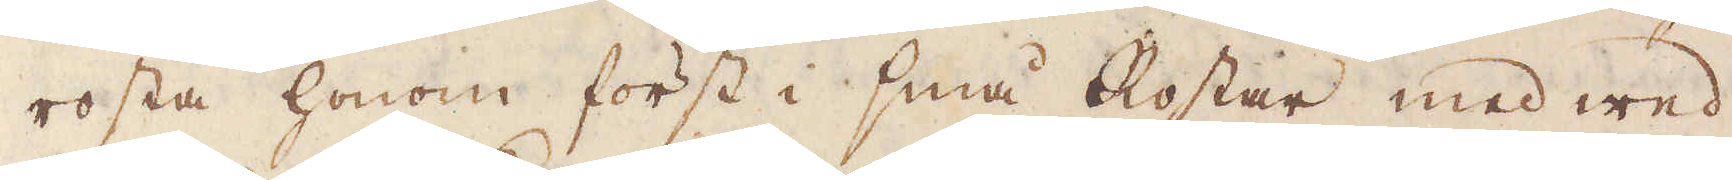rosta honom först i små Rostar med wed
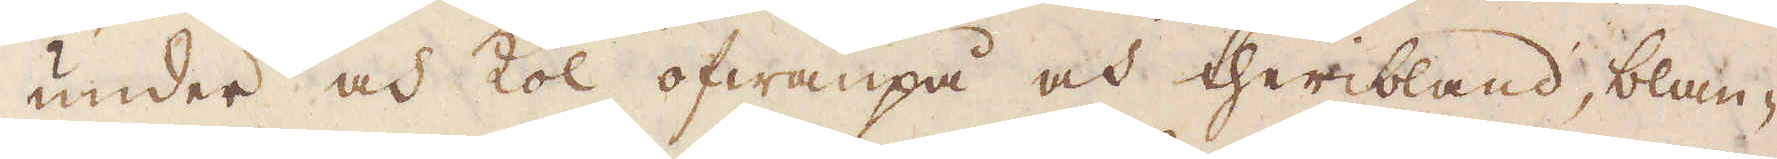under och kol ofwanpå och theribland, blan-
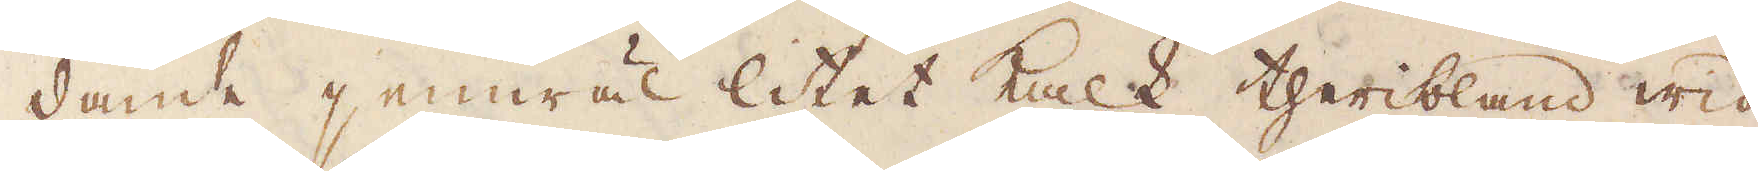dande jemwäl litet kalk theribland wid
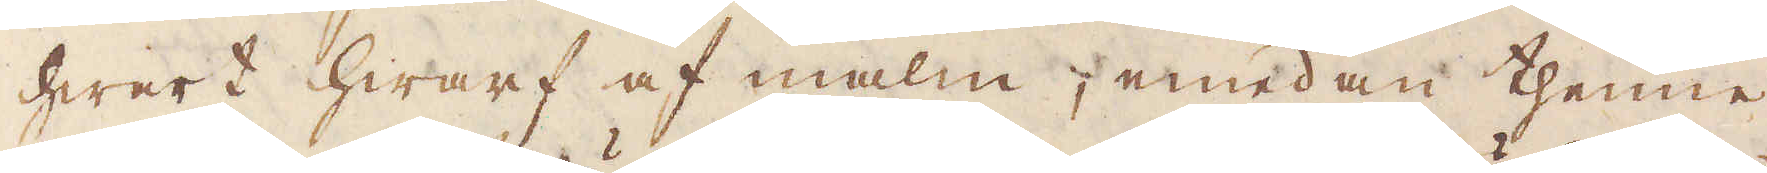hwart hwarf af malm; emedan thenne
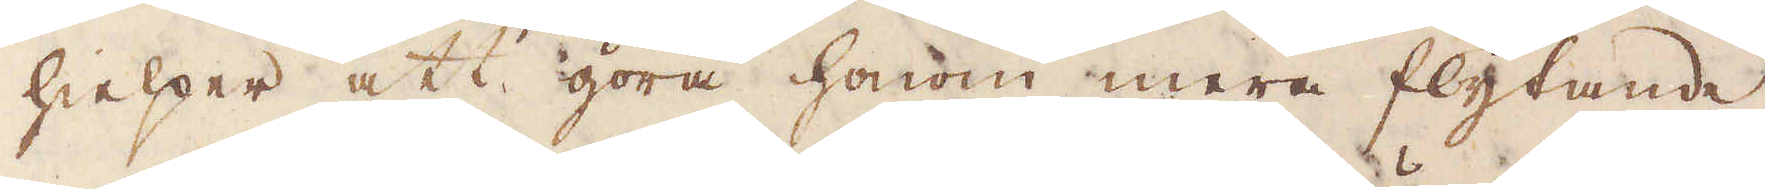hielper att göra honom mera flytande
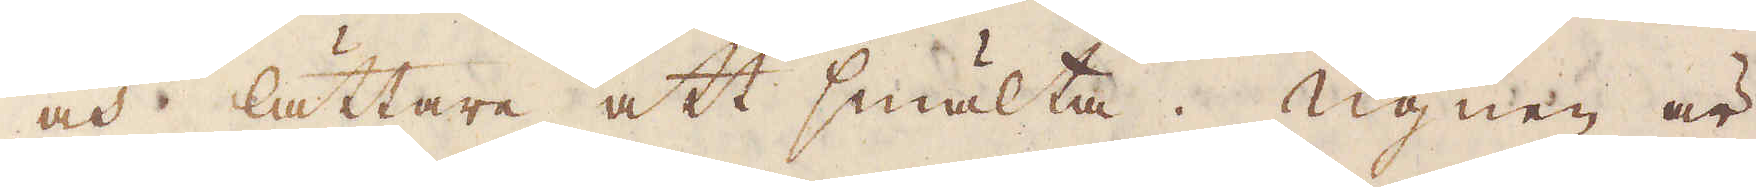och lättare att smälta. Ugnen är
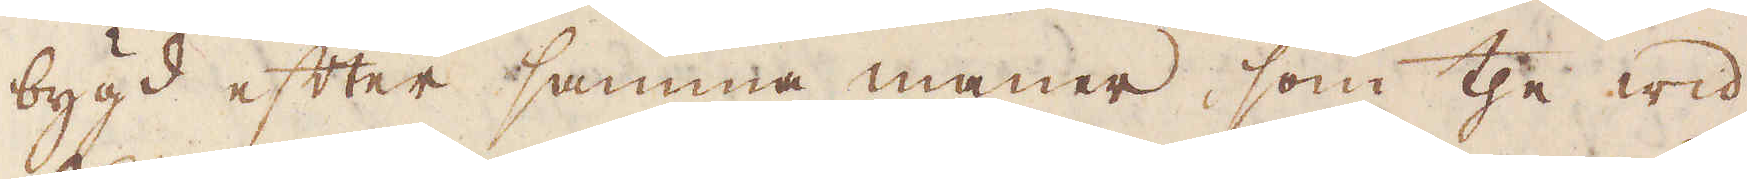bygd efter samma maner, som the wid
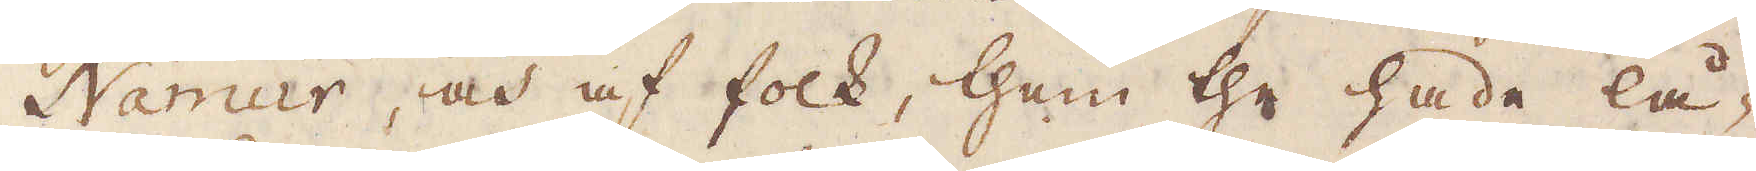Namur, och af folk, them the hade lå-
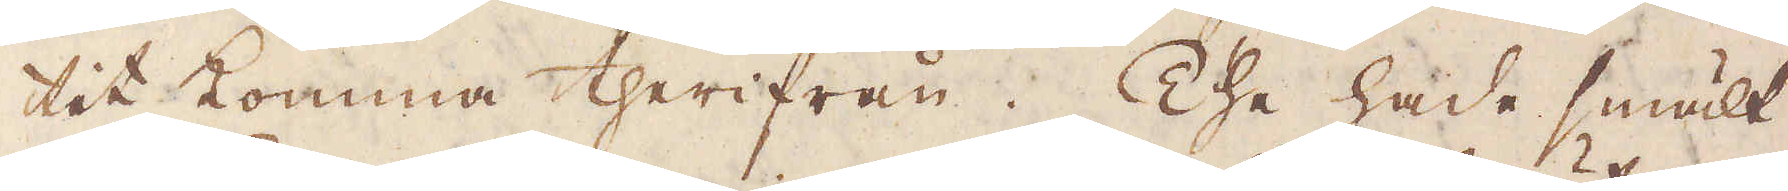tit komma therifrån. The hade smält
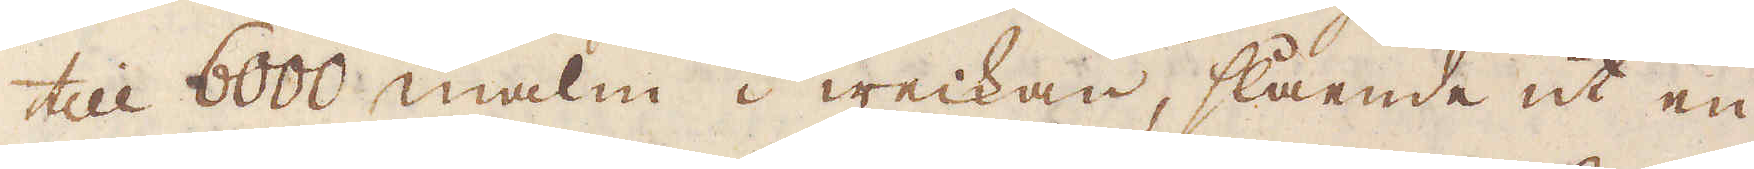till 6000 malm i weckan, slående ut en
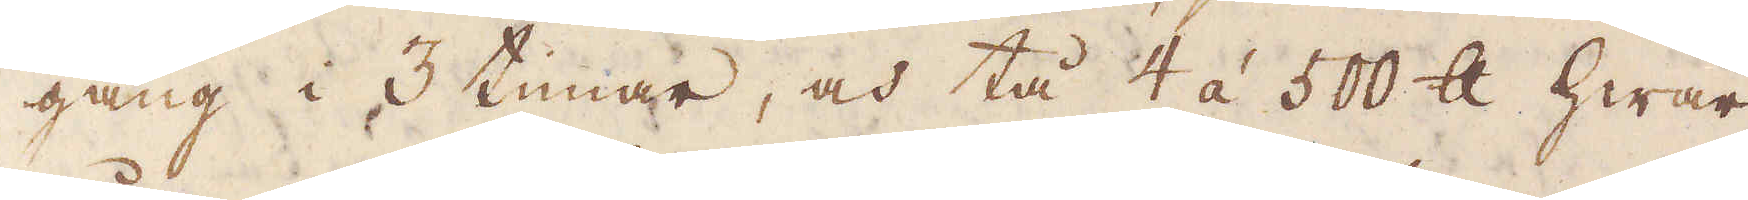gång i 3 timar, och tå 4 á 500 skålpund hwar
